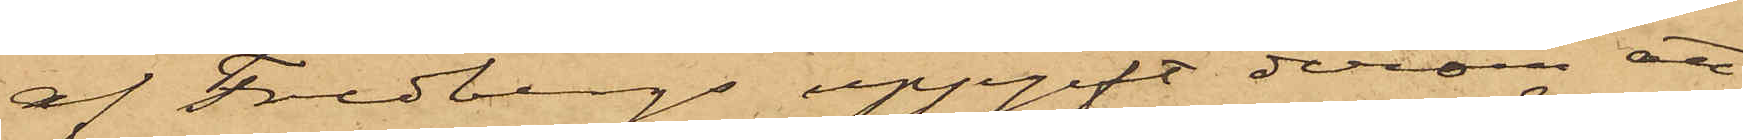af Fredbergs uppgift derom att
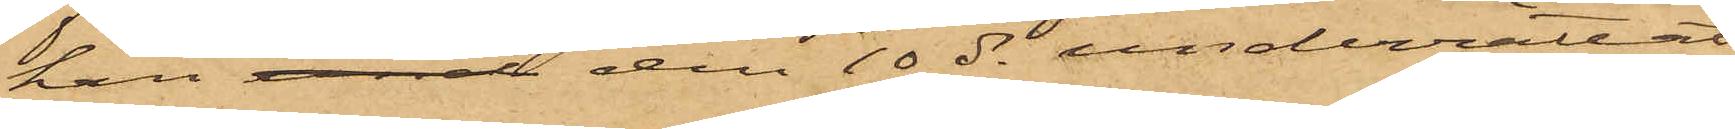han len den 10 ds underrättat
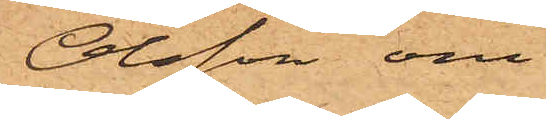Olsson om
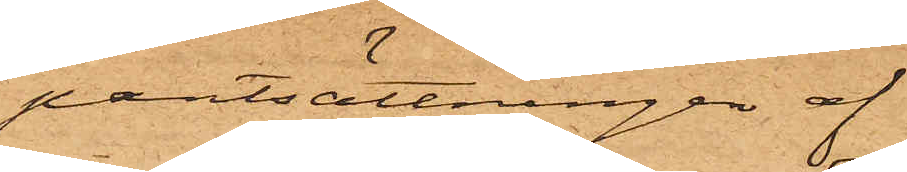pantsättningen af
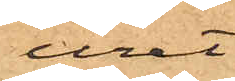uret.
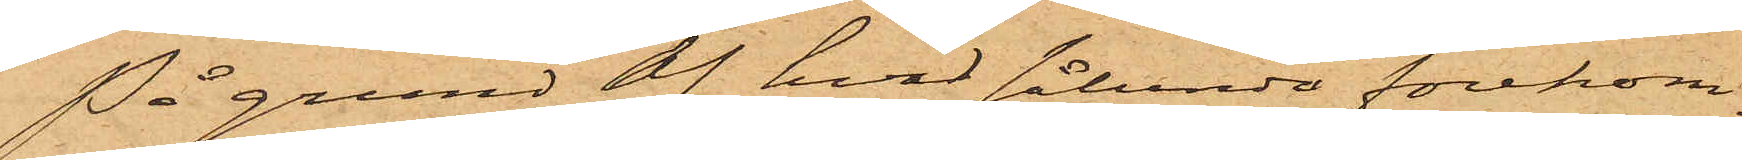På grund af hvad sålunda förekom¬
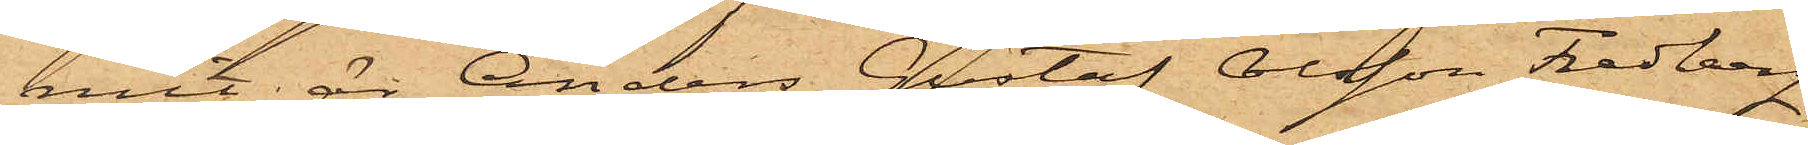mit, är Anders Gustaf Olsson Fredberg
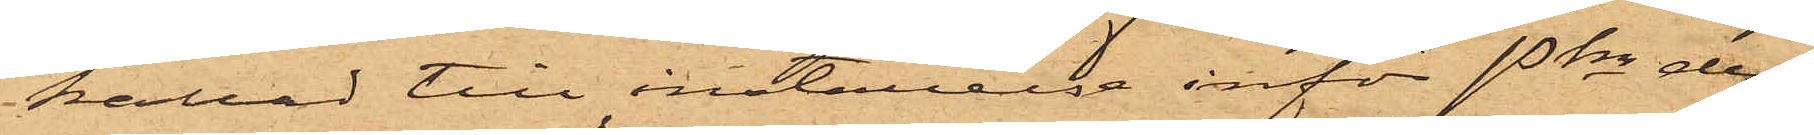kallad till inställelse inför Pkn den¬
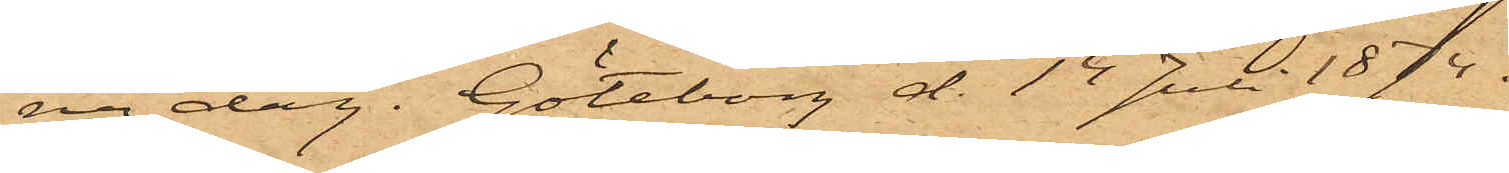na dag. Göteborg d. 14 Juli 1874.
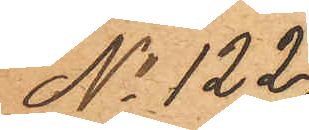No 122
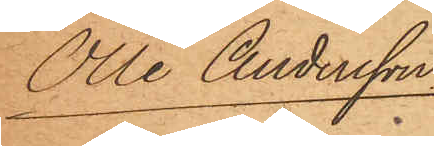Olle Andersson
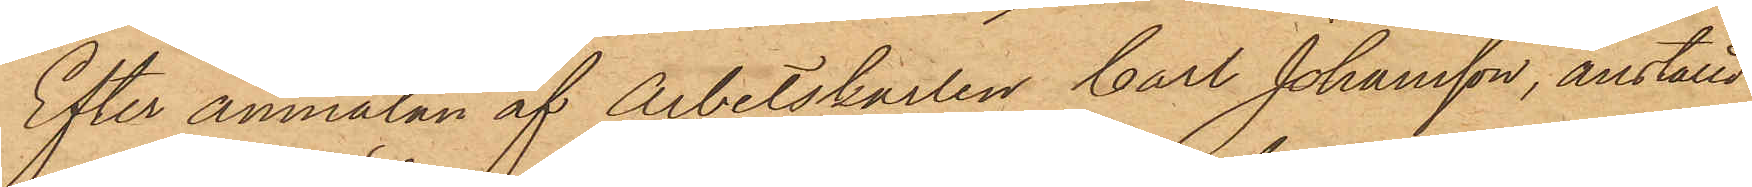Efter anmälan af Arbetskarlen Carl Johansson, anställd
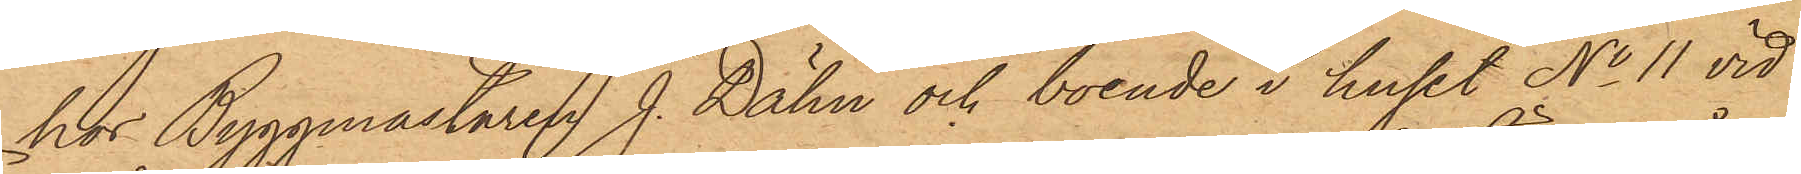hos Byggmästaren J. Dähn och boende i huset No 11 vid
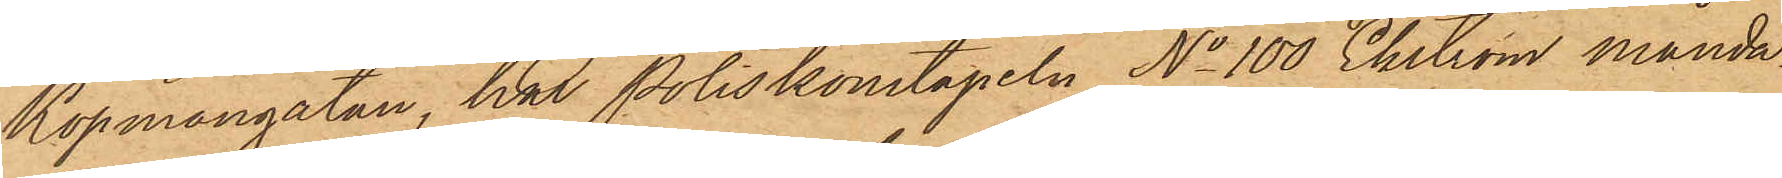Köpmangatan, har Poliskonstapeln No 100 Ekström månda¬
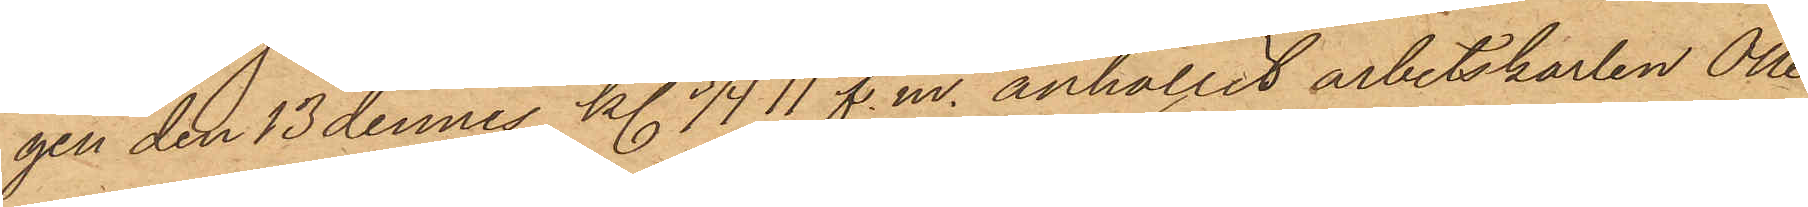gen den 13 dennes kl. 3/4 11 f.m. anhållit arbetskarlen Olle
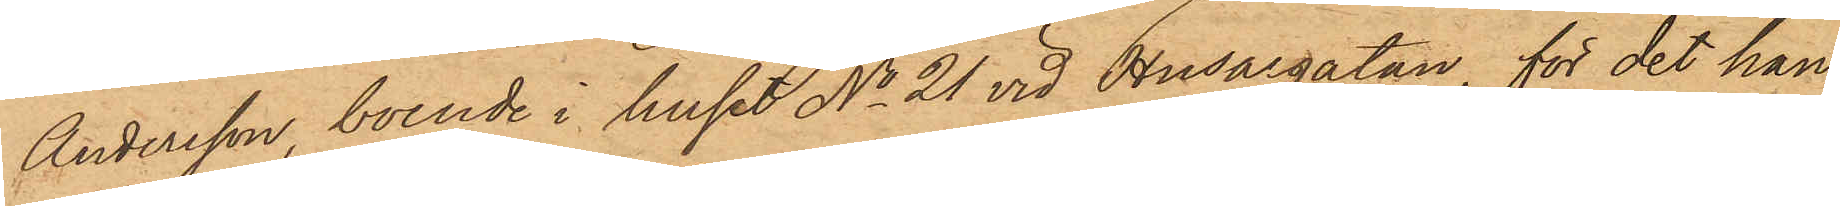Andersson, boende i huset No 21 vid Husargatan, för det han
